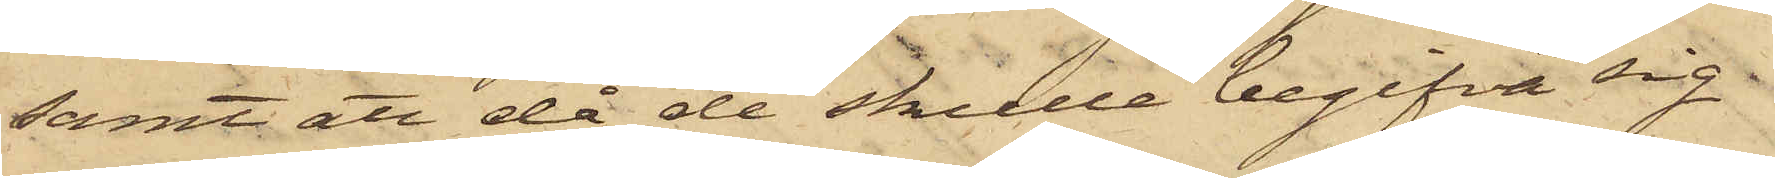samt att då de skulle begifva sig
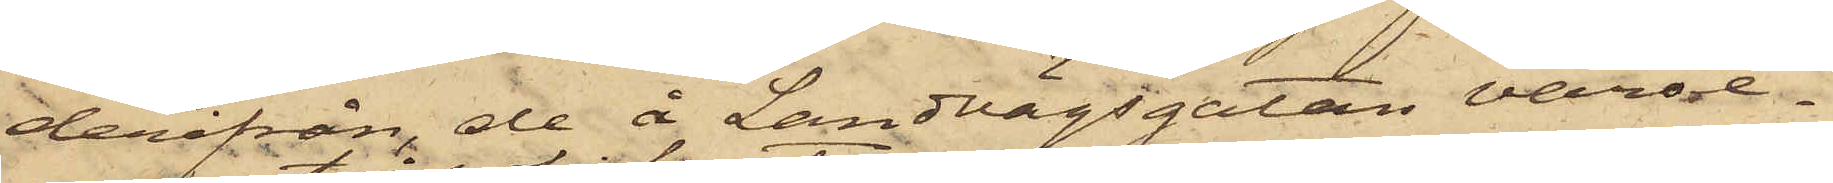derifrån, de å Landvägsgatan varse¬
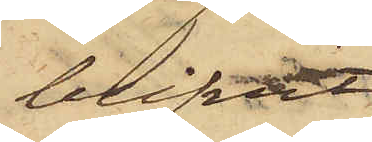blifvit
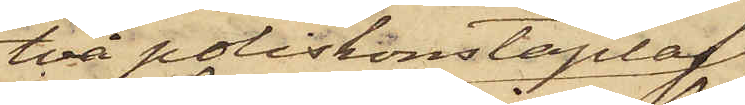två poliskonstaplar,
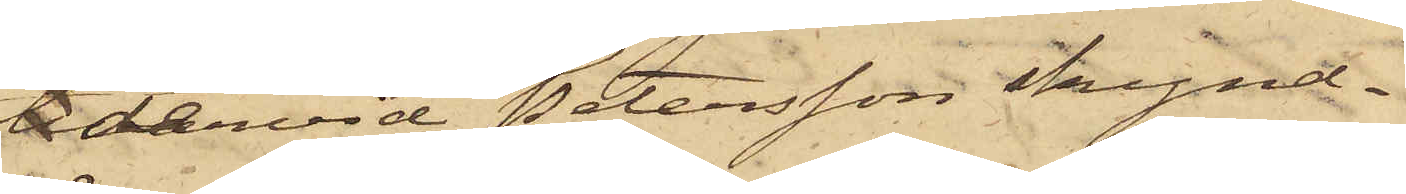dervid Petersson skynd¬
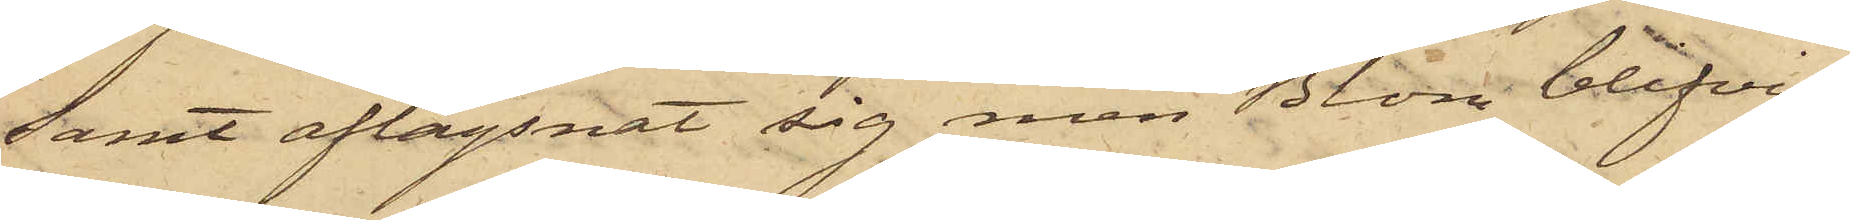samt aflägsnat sig men Blom blifvit
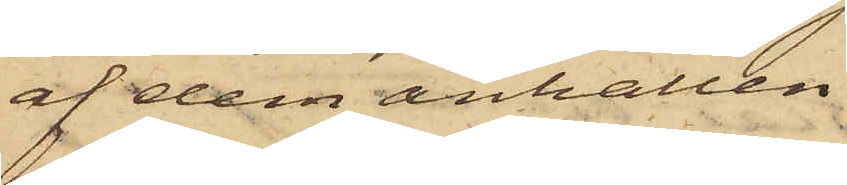af dem anhållen.
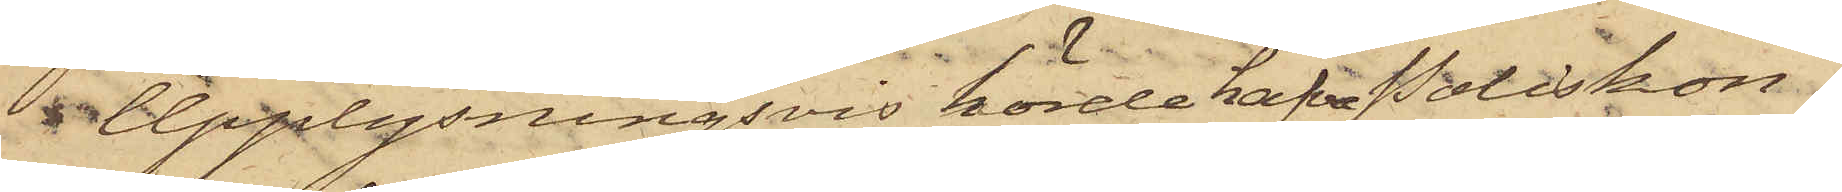 Upplysningsvis hörde hafva Poliskon¬
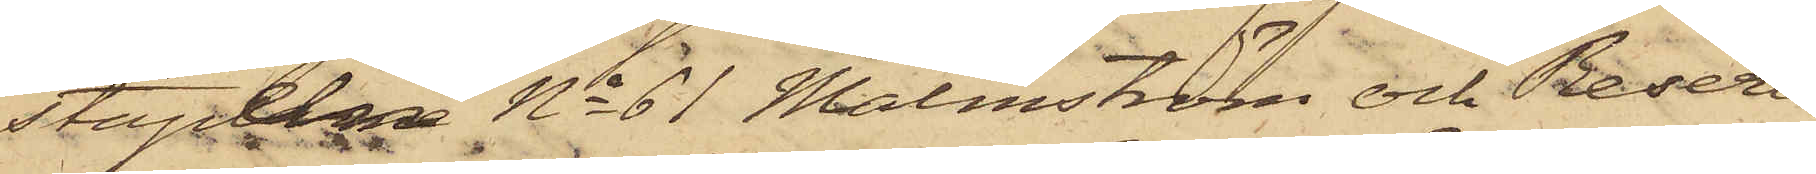stapeln No 61 Malmström och Reser¬
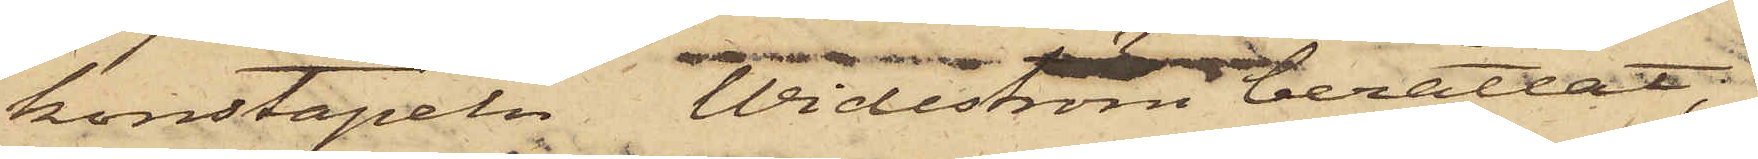konstapeln Wideström berättat,
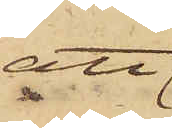att
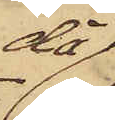då
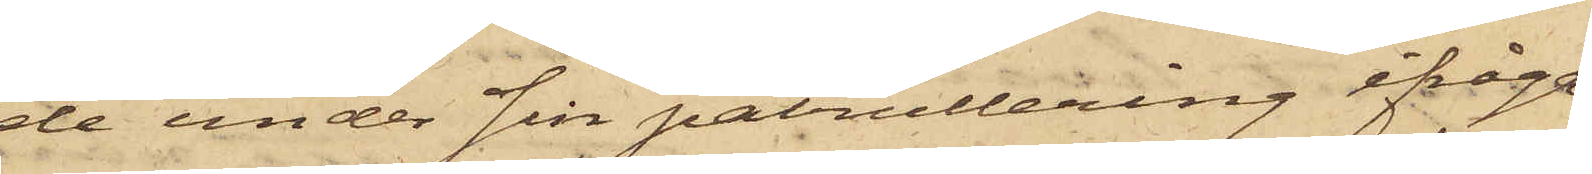de under sin patrullering ifråga¬
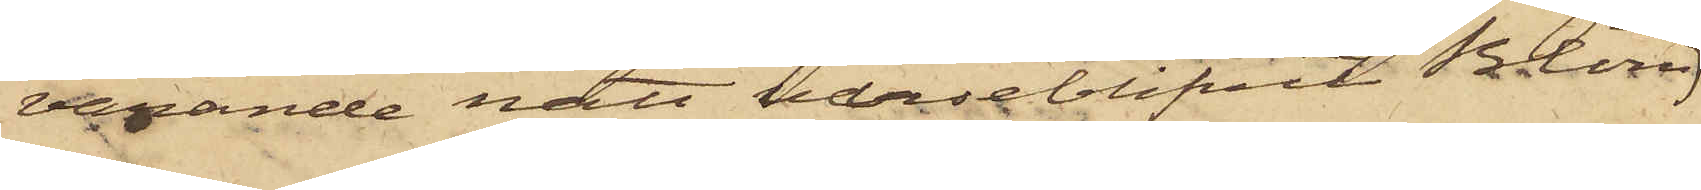varande natt varseblifvit Blom
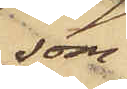som
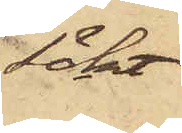sökt
